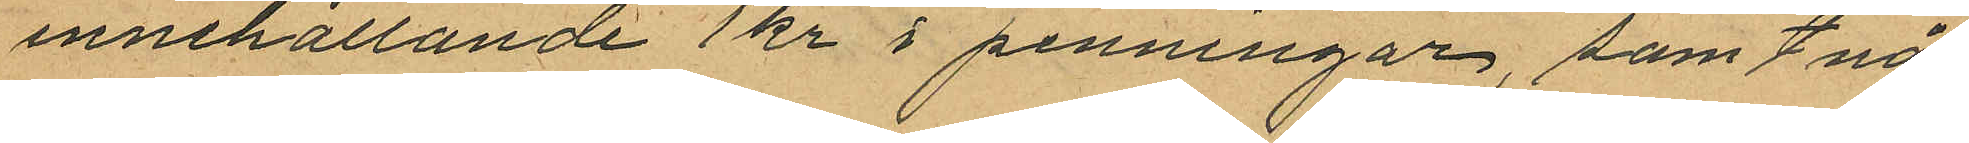innehållande 1 kr i penningar, samt nå¬
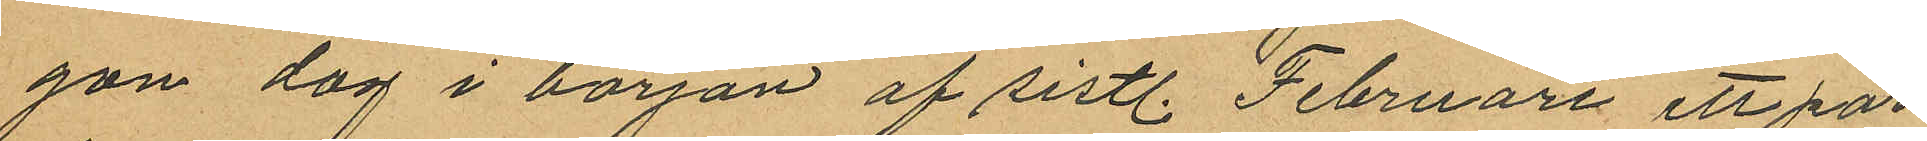gon dag i början af sistl. Februari ett par
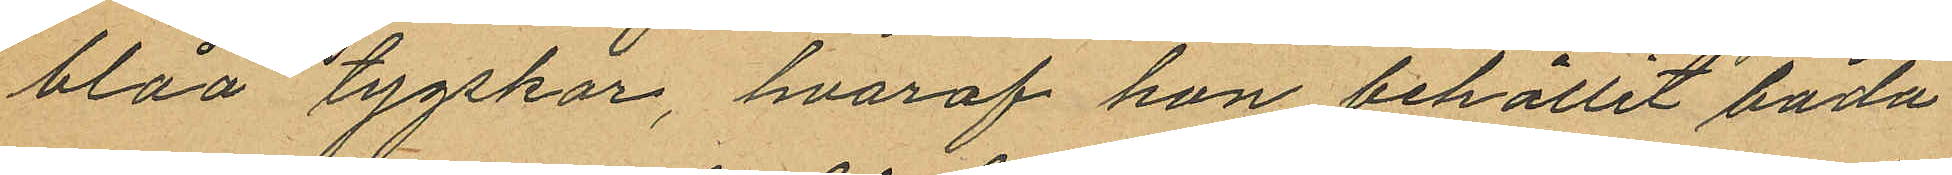blåa tygskor, hvaraf hon behållit båda
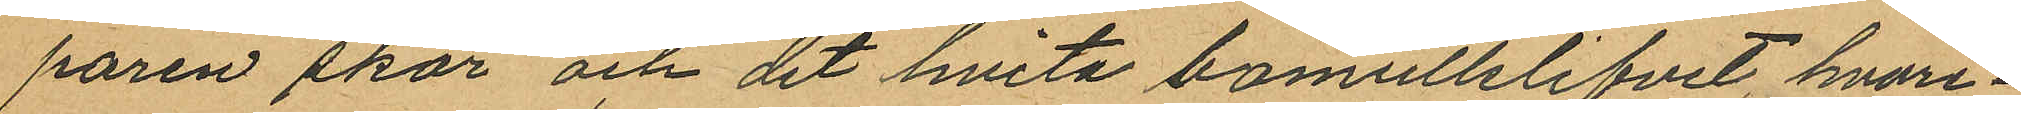paren skor och det hvita bomullslifvet, hvare¬
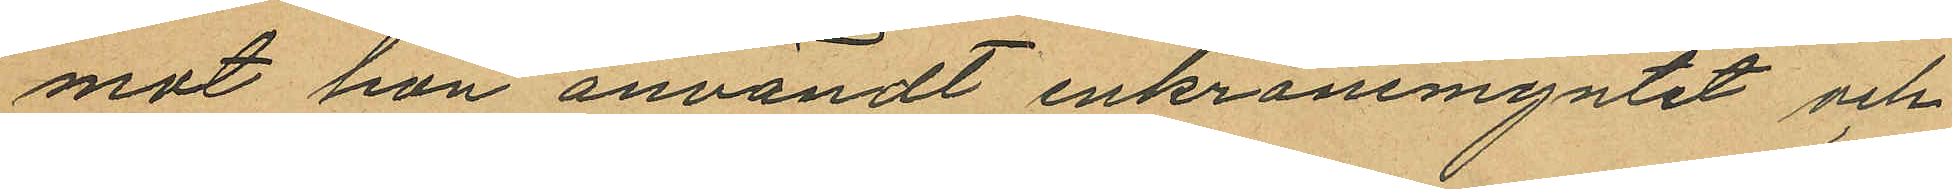mot hon användt enkronemyntet och
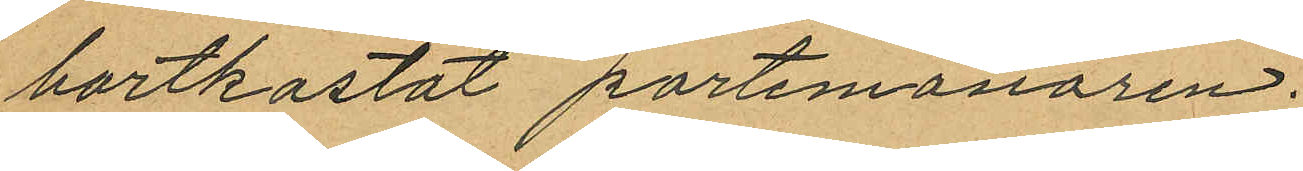bortkastat portemonären.
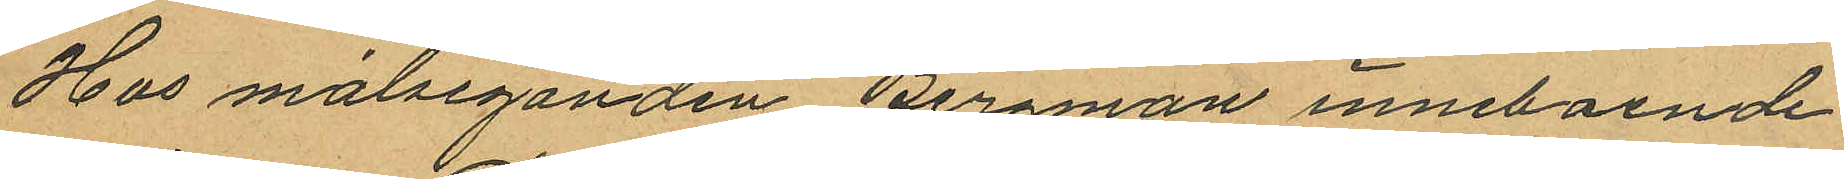Hos målseganden Bergman inneboende
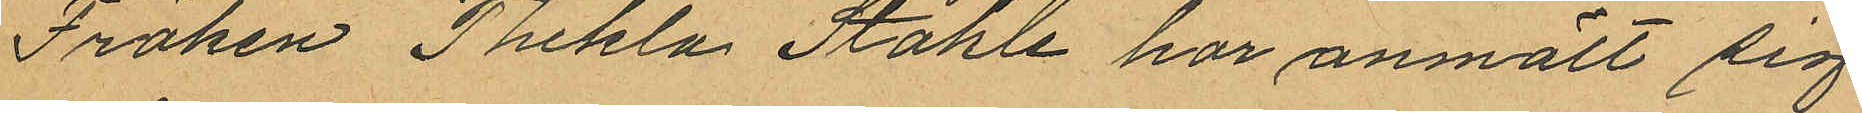Fröken Thekla Ståhle har anmält sig
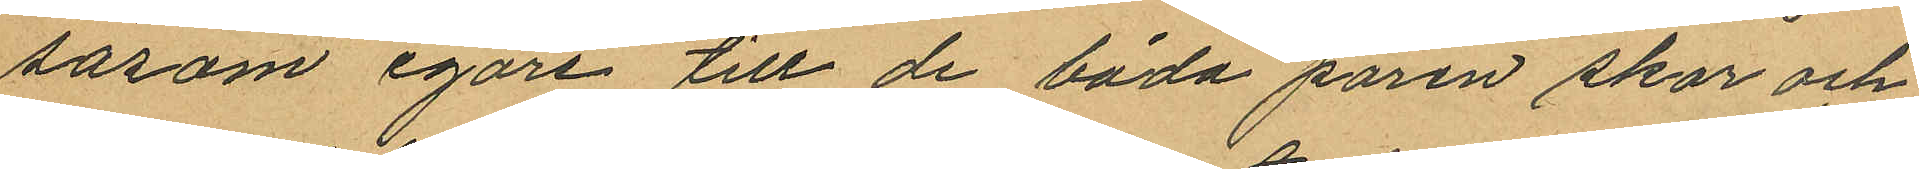såsom egare till de båda paren skor och
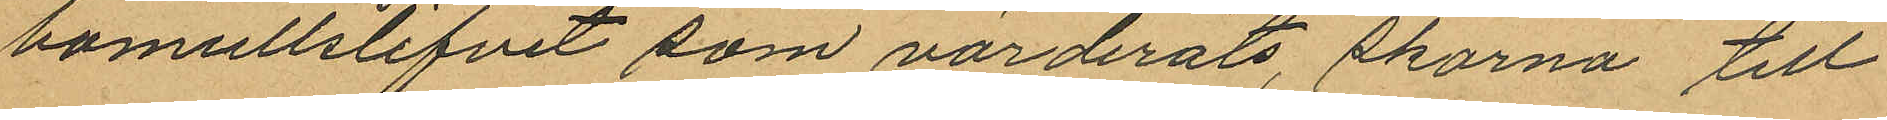bomullslifvet som värderats, skorna till
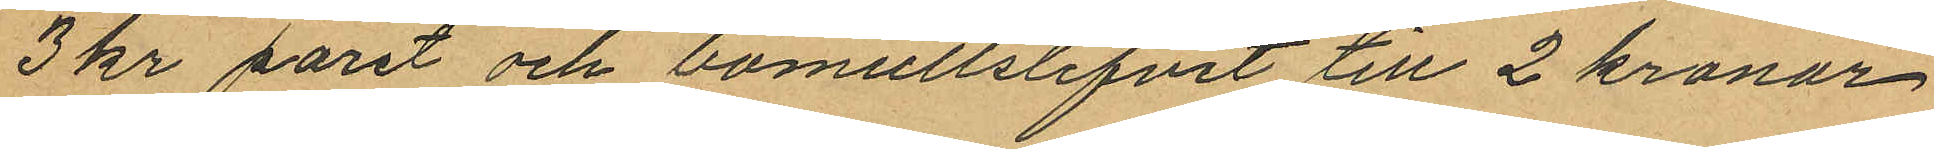3 kr paret och bomullslifvit till 2 kronor
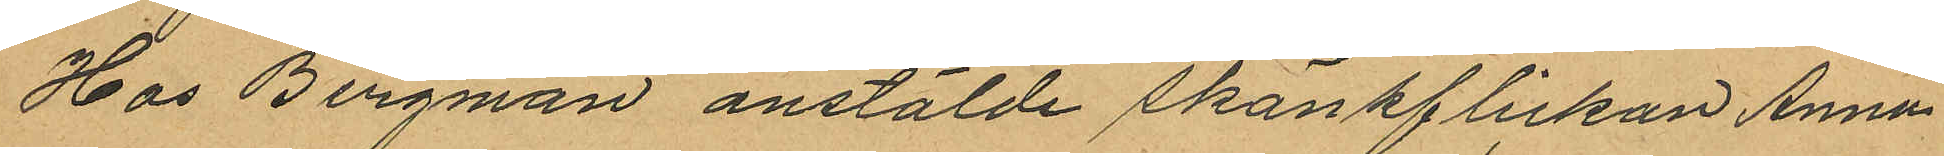Hos Bergman anstälde skänkflickan Anna
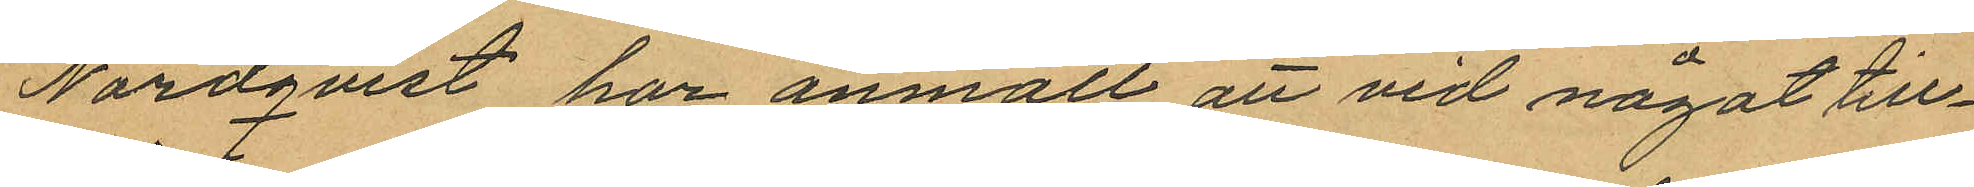Nordqvist har anmält att vid något till¬
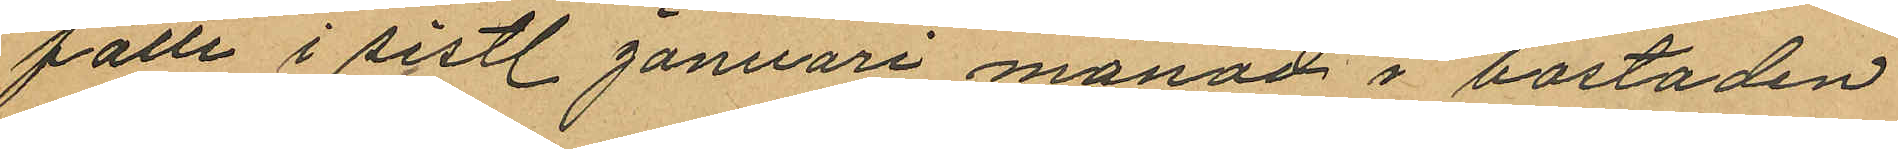fälle i sistl. Januari månad i bostaden
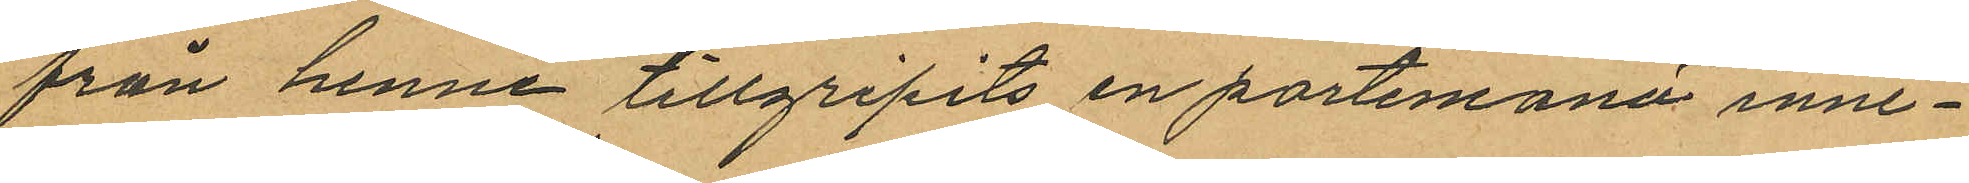från henne tillgripits en portemonä inne¬
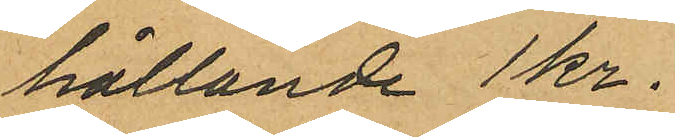hållande 1 kr.
